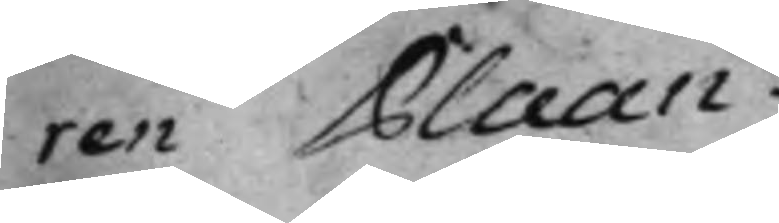ren Plaan.
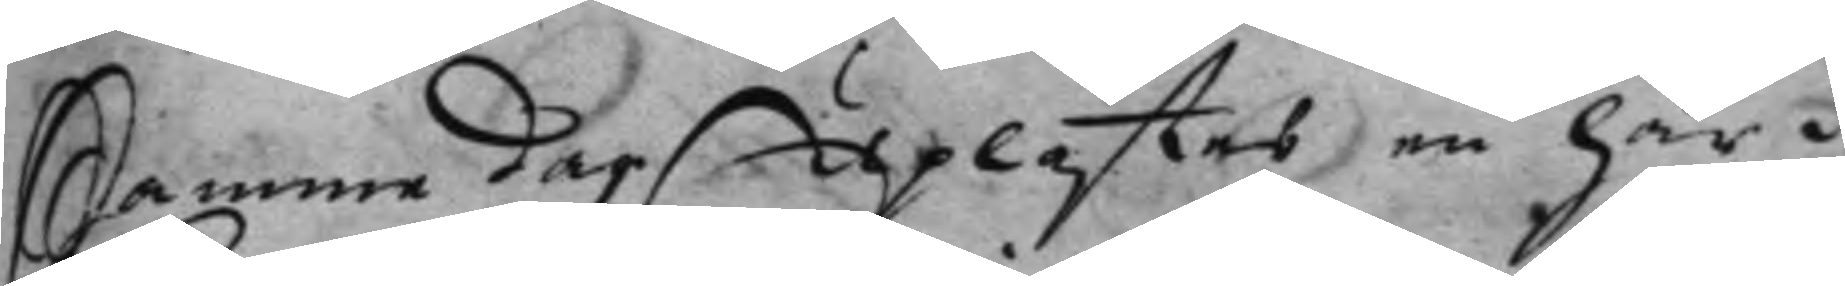Samme dag Uplästes en här i
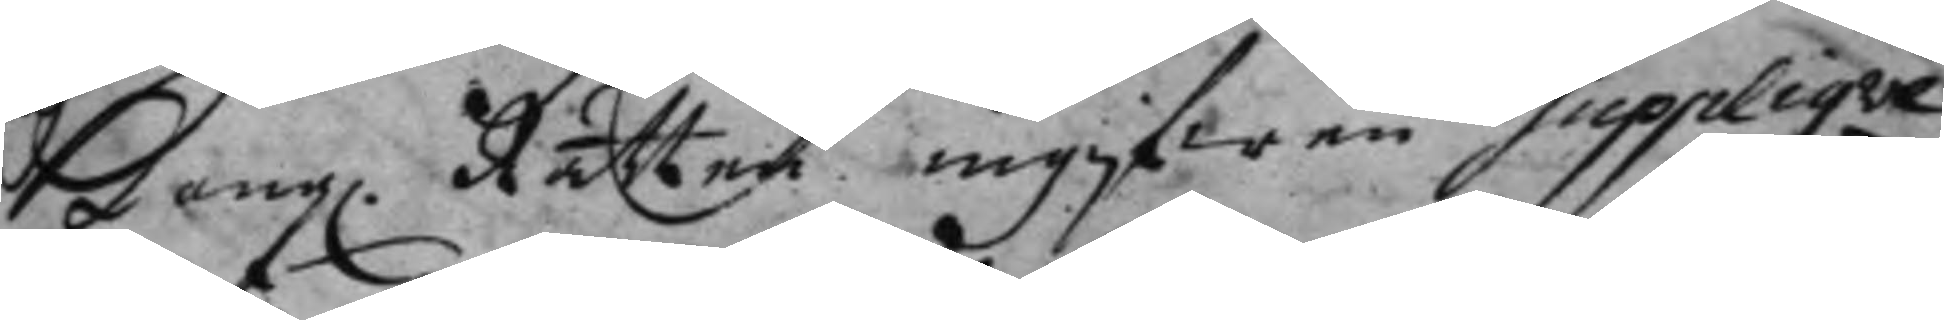Kong. Rätten ingifwen Supplique
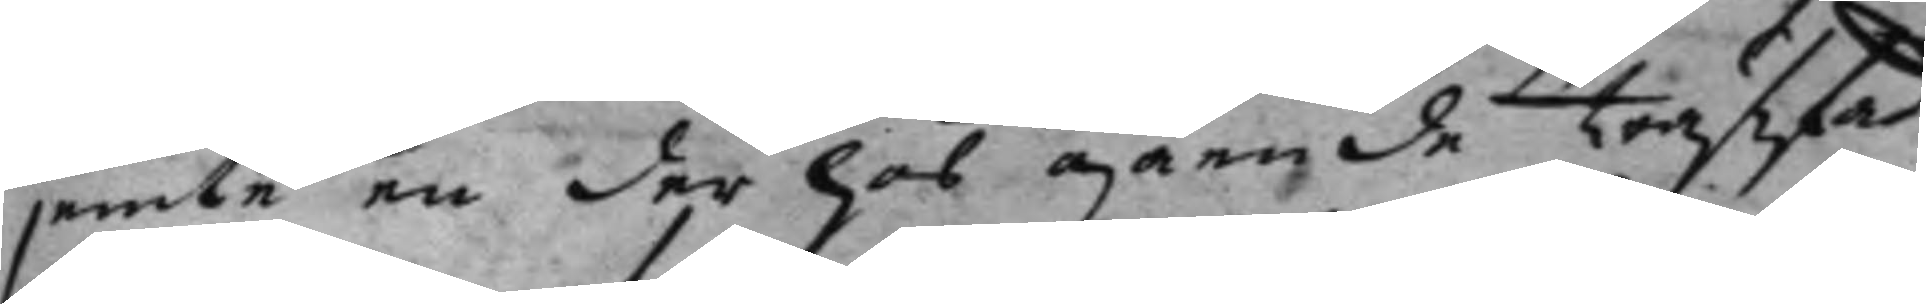jemte en der hos gående träffad
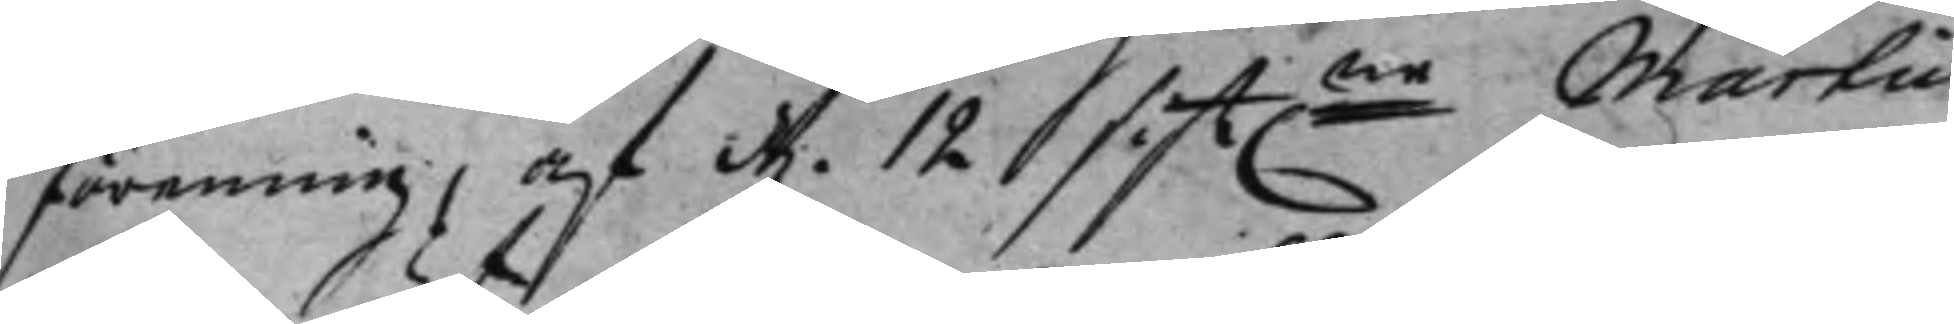förening, af d. 12 sist.ne Martii
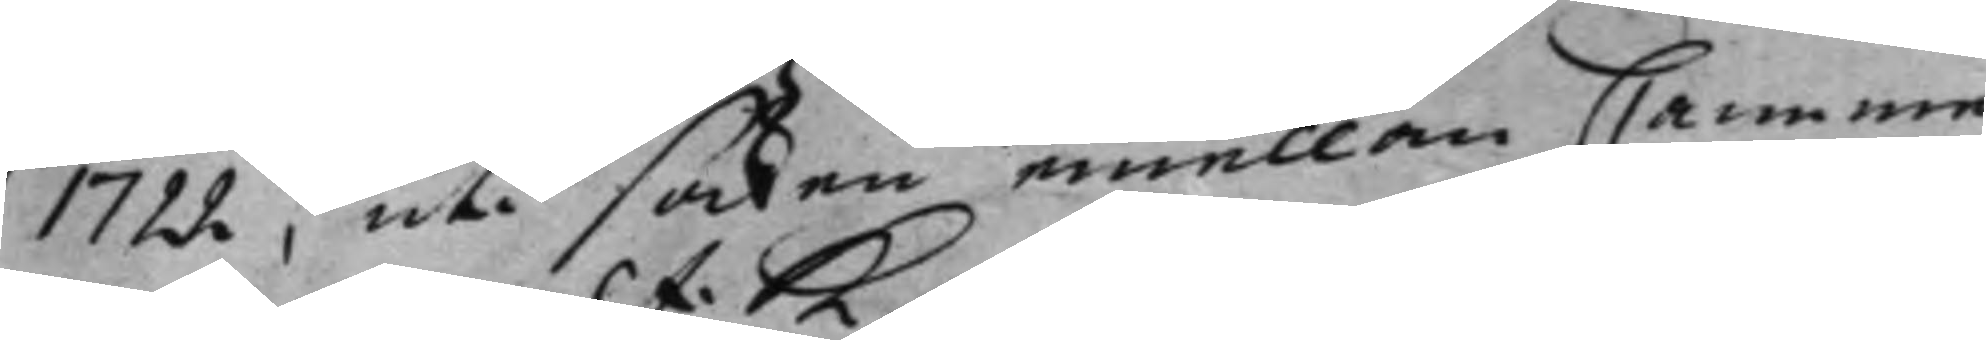1722, uti saken emellan Camme¬
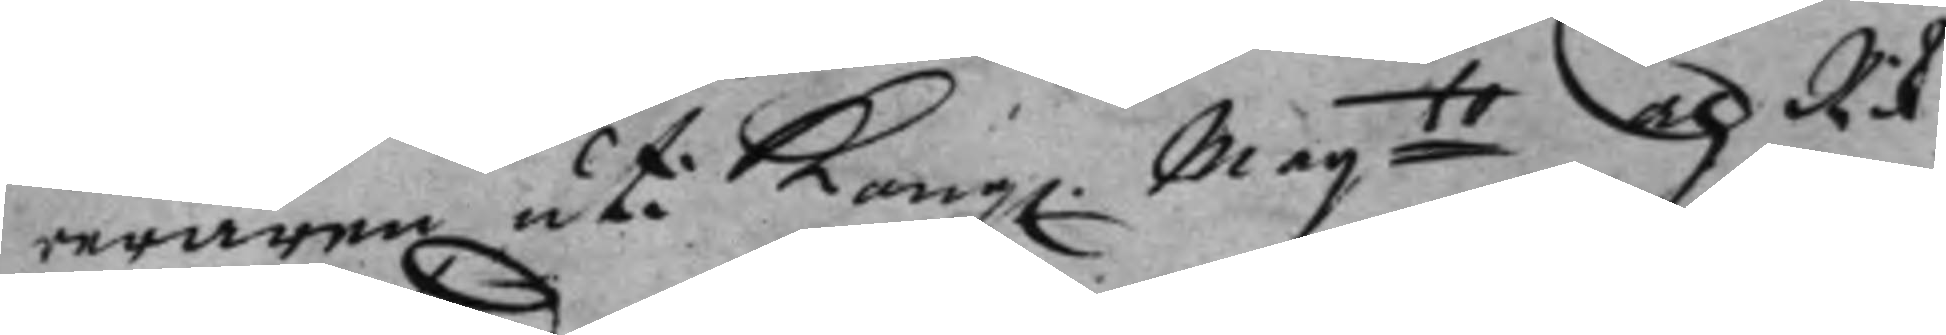reraren uti Kong. Maijts och Rik¬
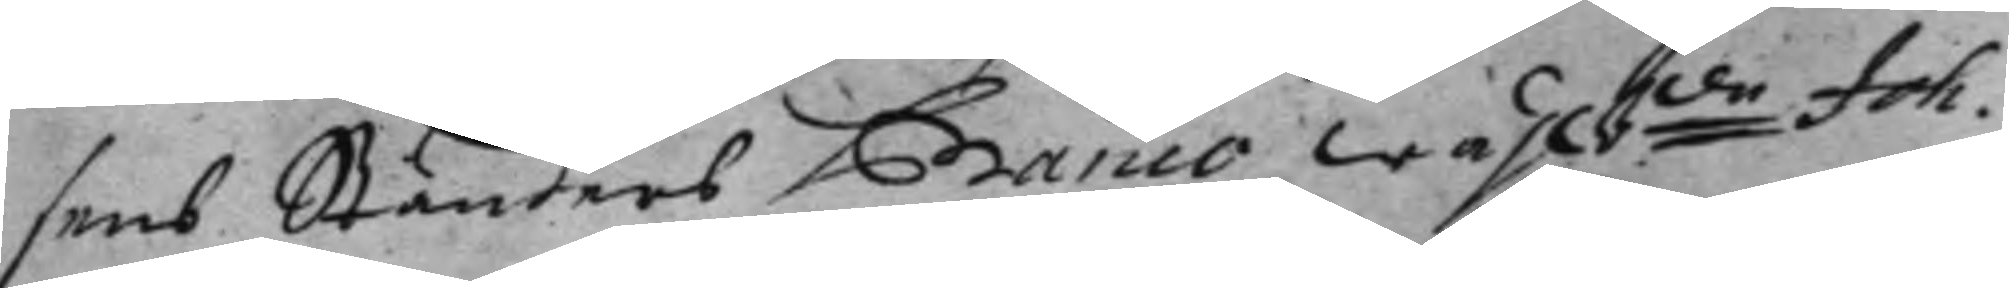sens Ständers Banco wählbde Joh.
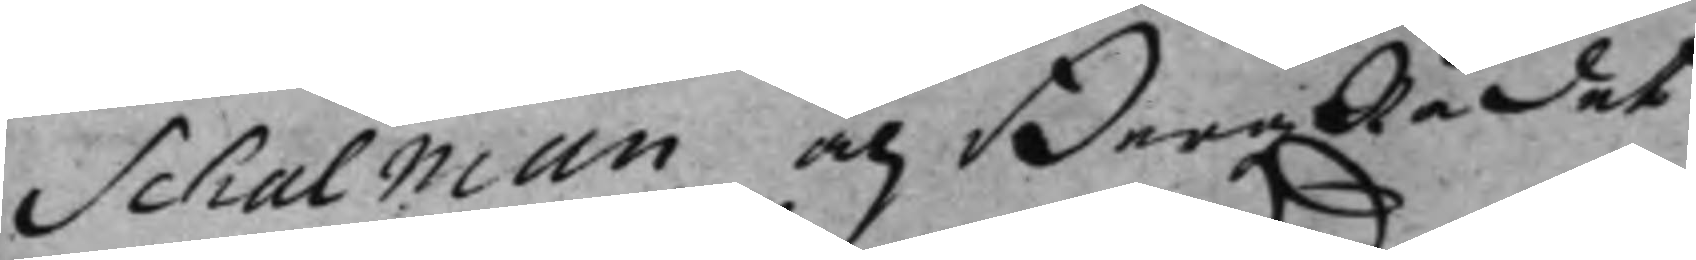Schalman, och BergzRådet
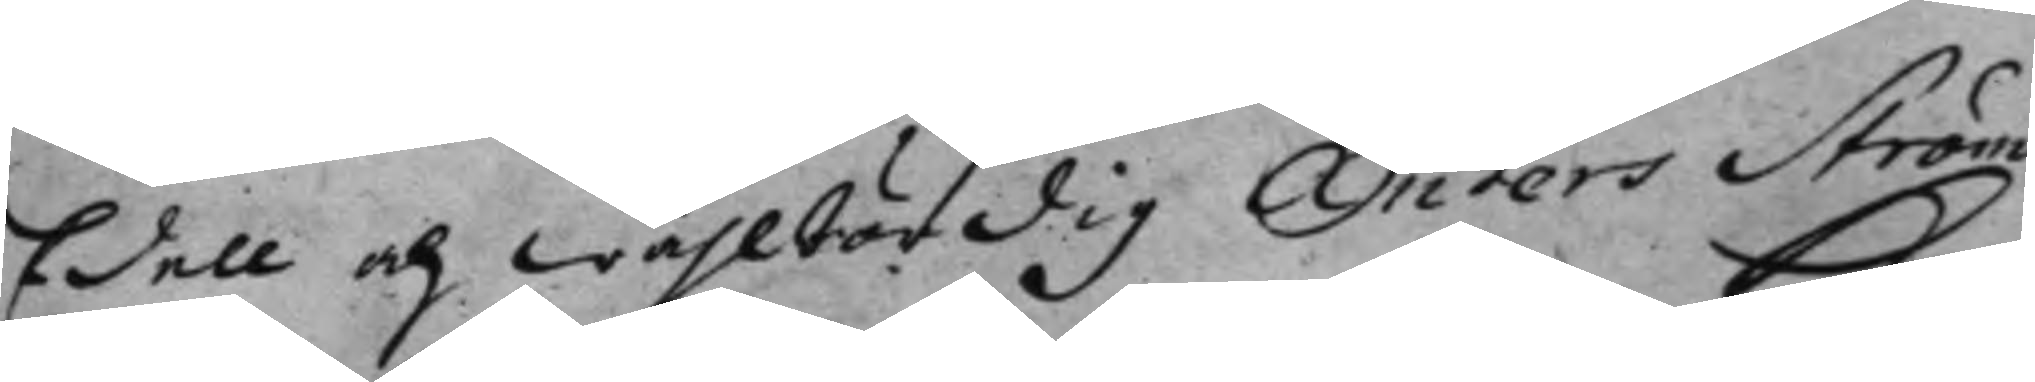Edell och Wählbördig Anders Ström¬
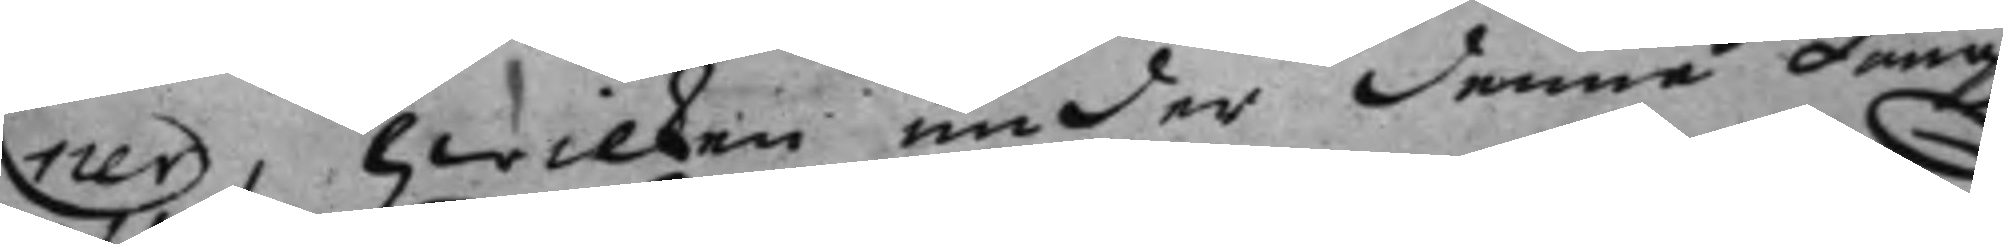ner, hwilken under denne Kongl.
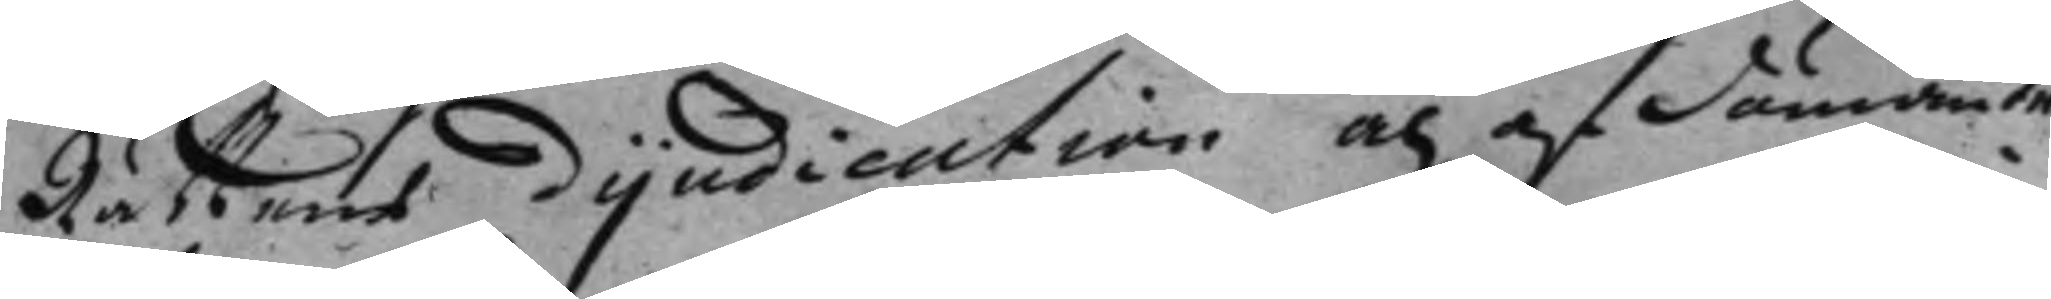Rättens dijedication och afdömande
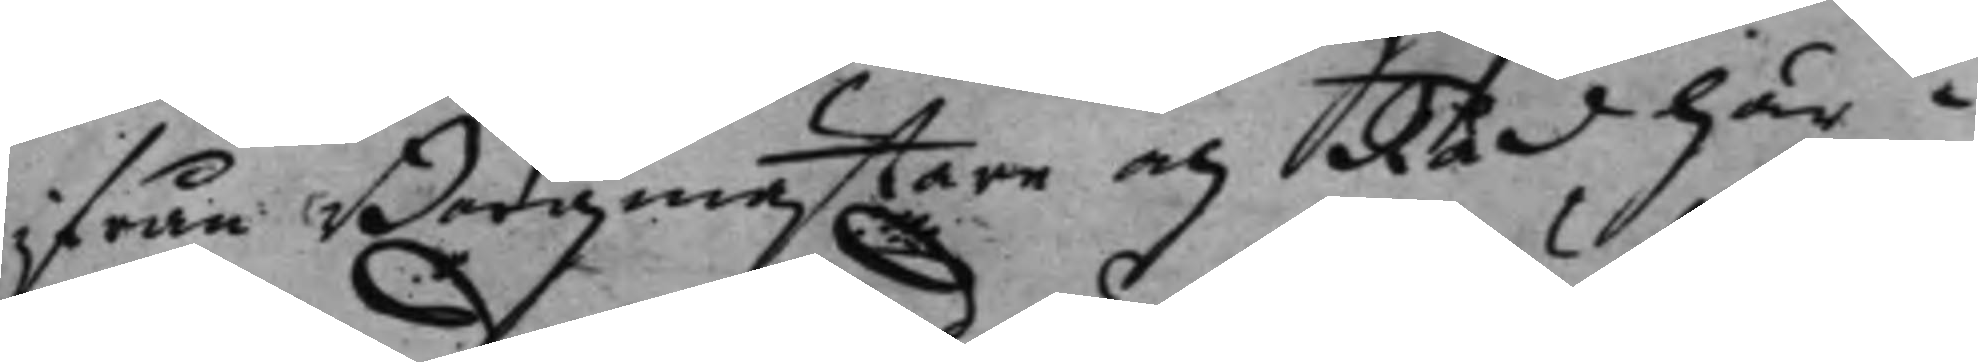ifrån Borgmästare och Råd här i
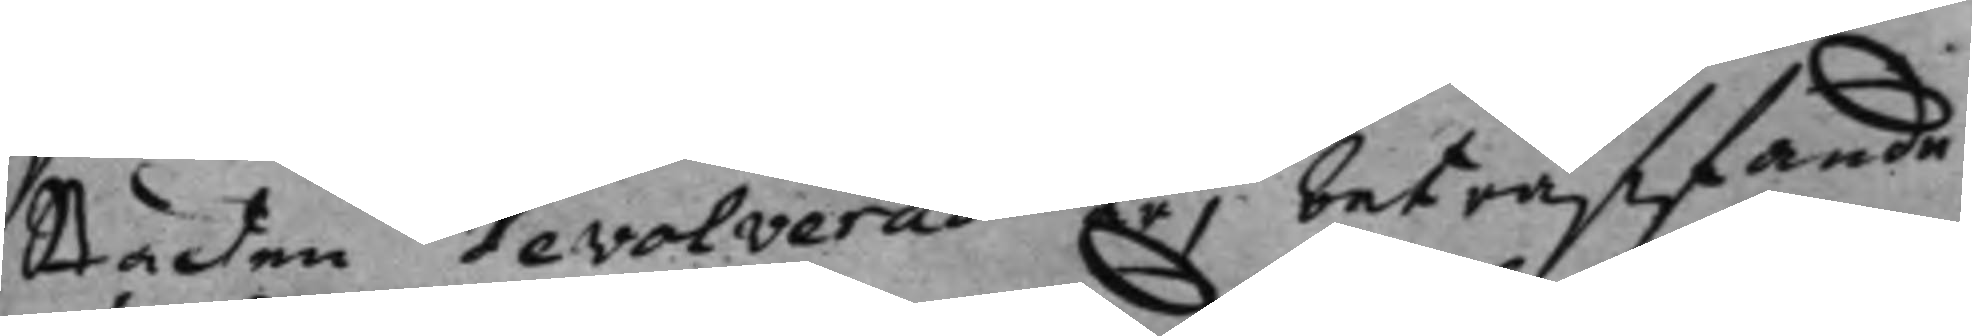Staden devolverad är, beträffande
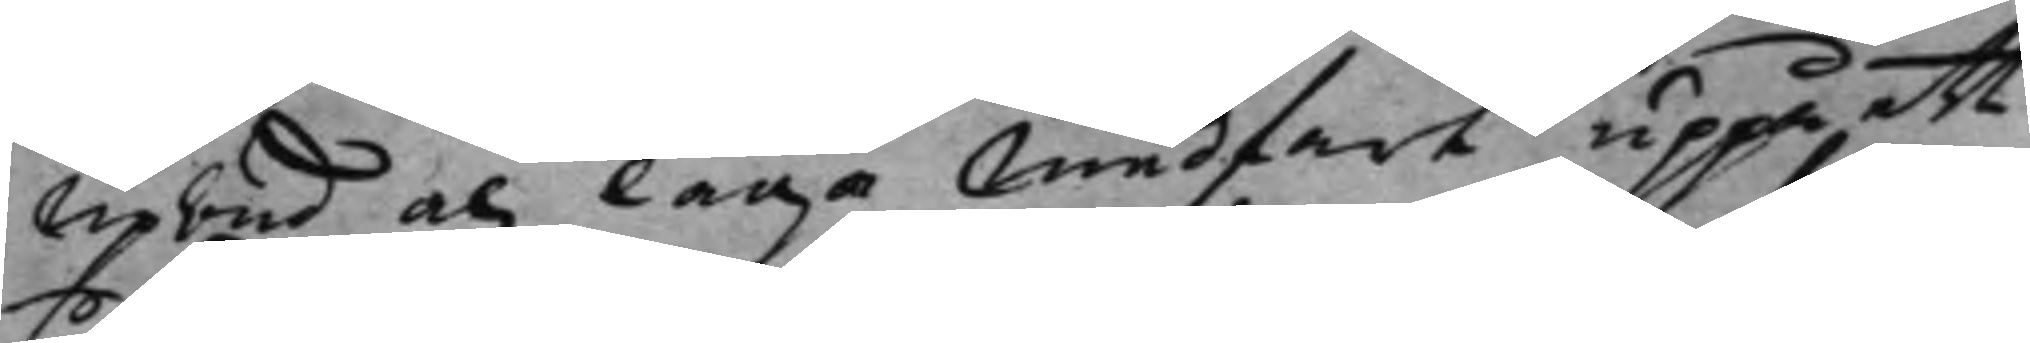Upbud och laga medfart uppå ett
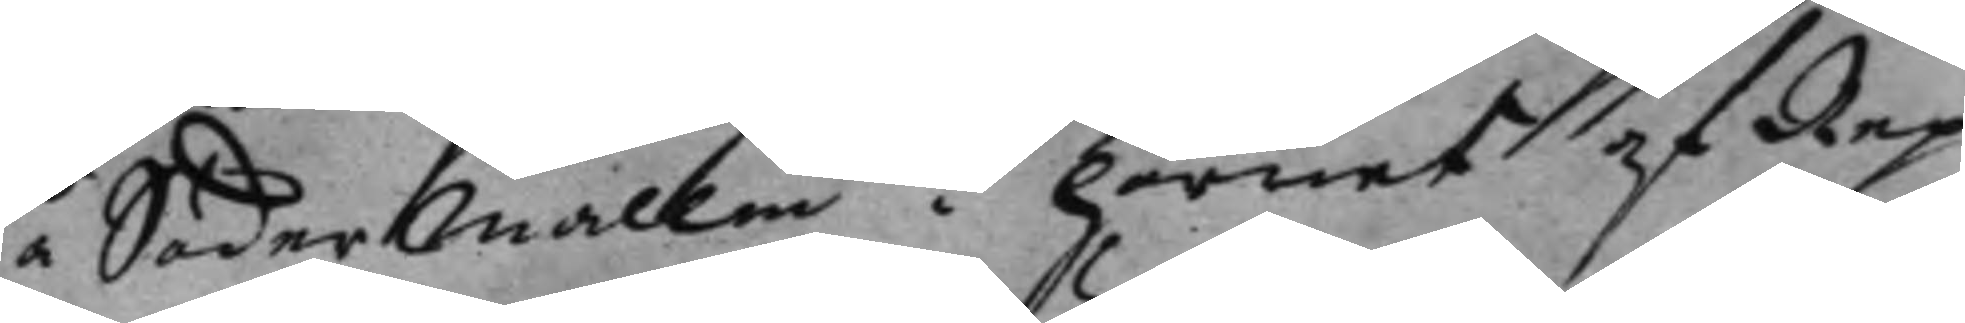i Södermallm i hörnet af Rep¬
